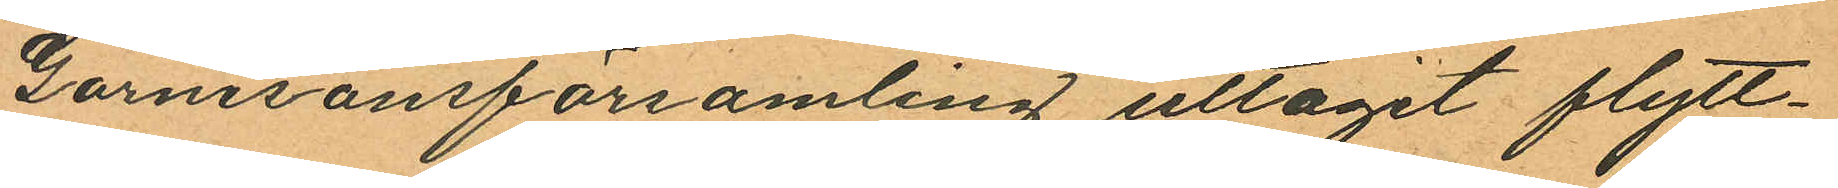Garnisonsförsamling uttagit flytt¬
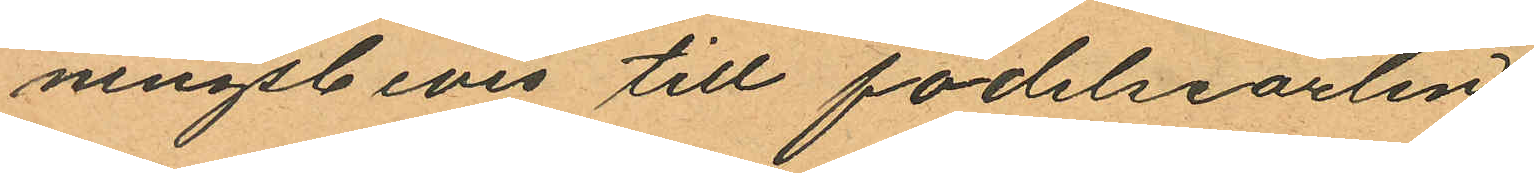ningsbevis till födelseorlen.
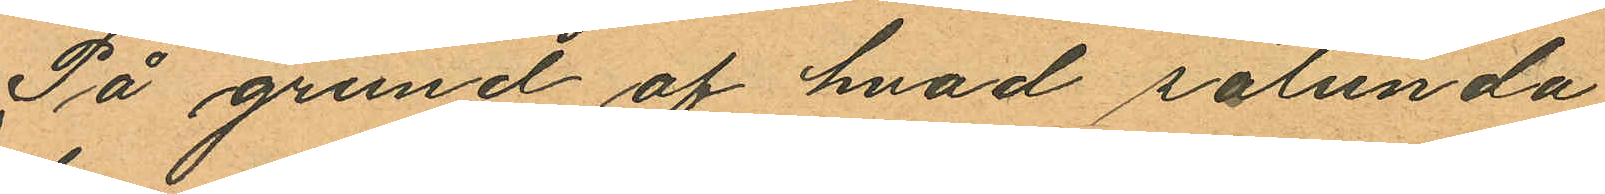På grund af hvad sålunda
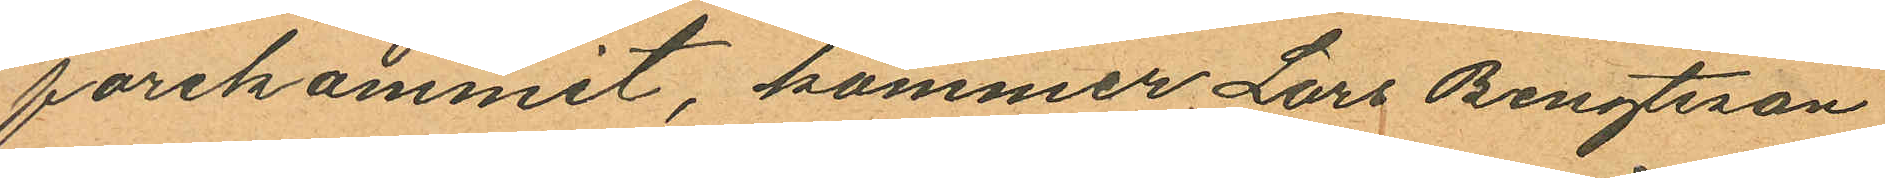förekommit, kommer Lars Bengtsson
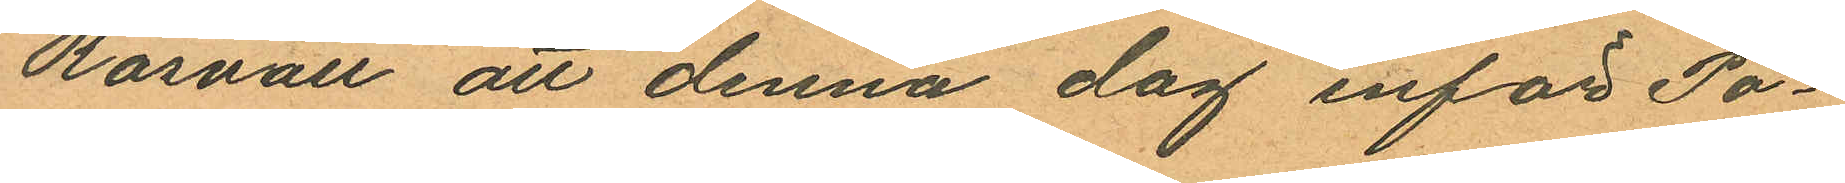Rosvall att denna dag inför Po¬
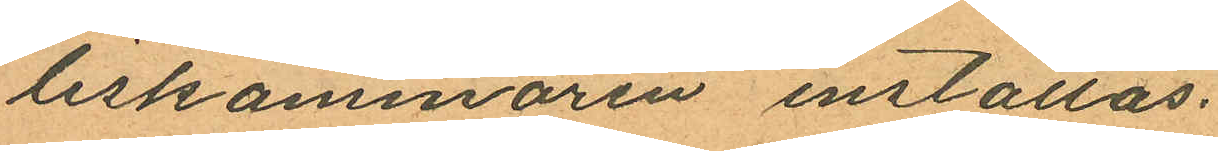liskammaren inställas.
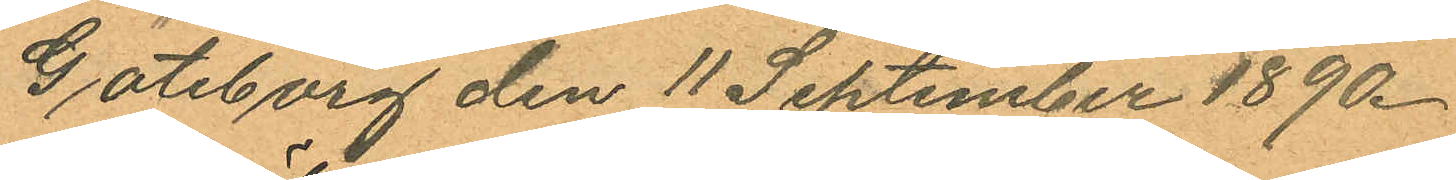Göteborg den 11 September 1890.
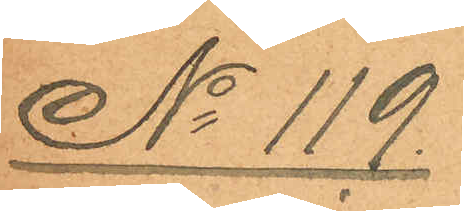No 119.
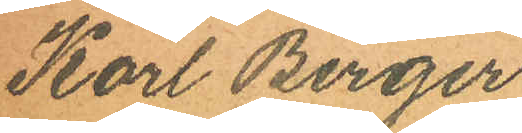Karl Birger
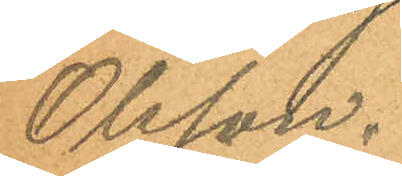Olsson.
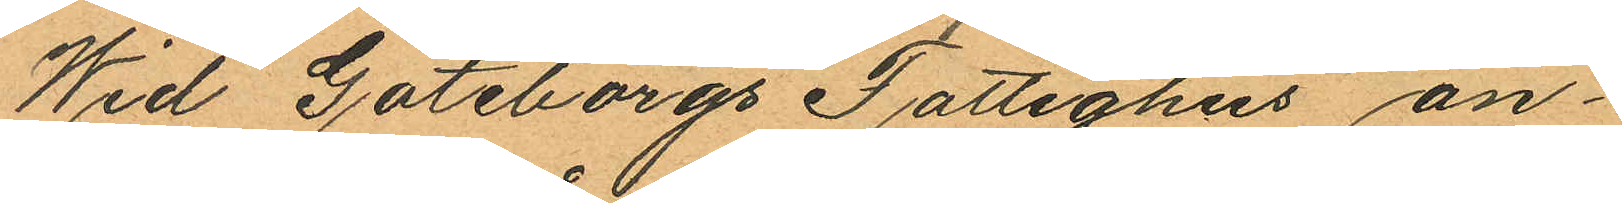Wid Göteborgs Fattighus an¬
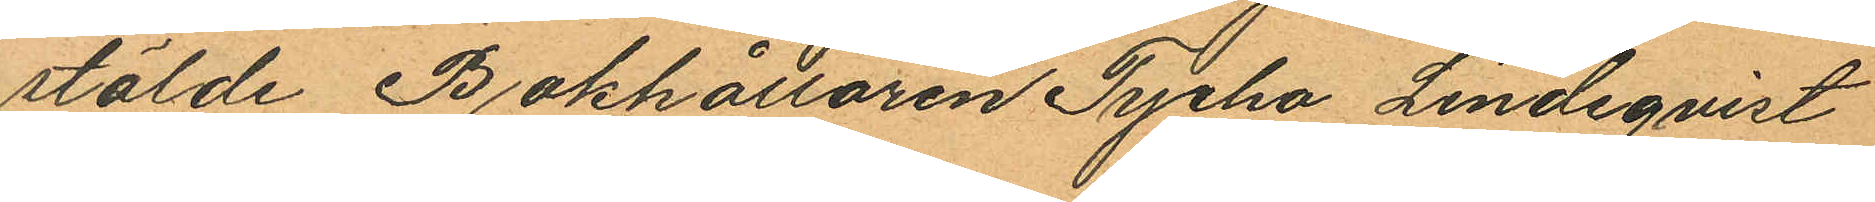stälde Bokhållaren Tycho Lindeqvist
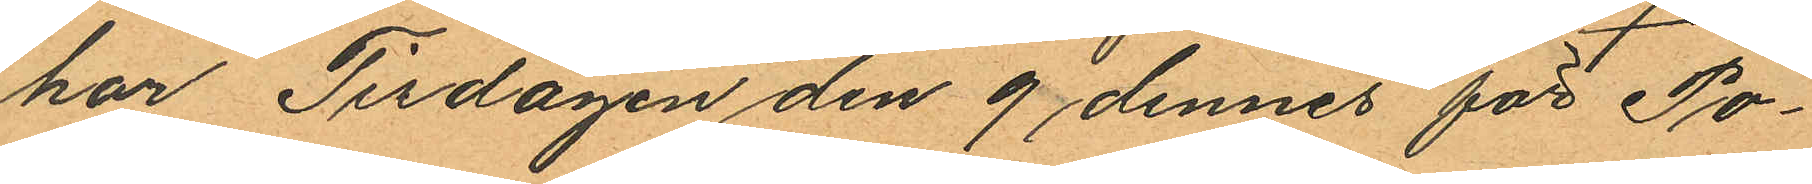har Tisdagen den 9 dennes för Po¬
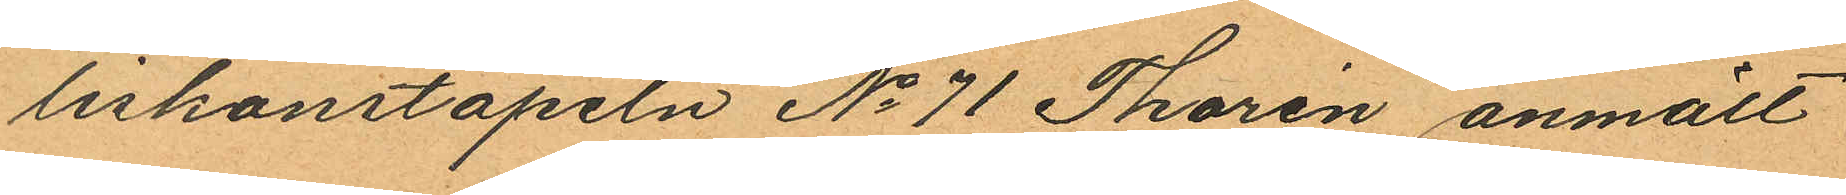liskonstapeln No 71 Thorén anmält
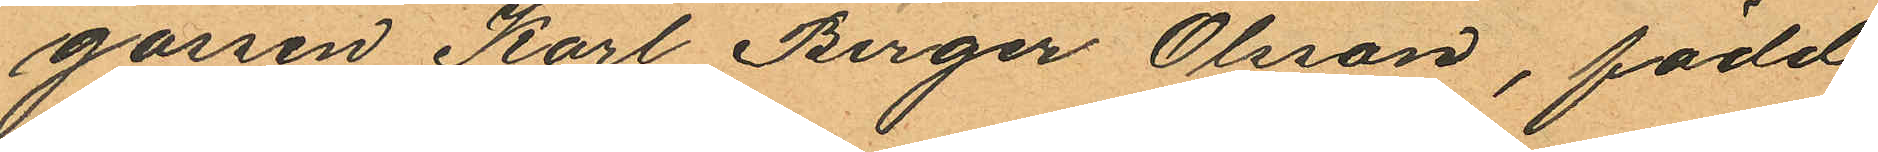gossen Karl Birger Olsson, född
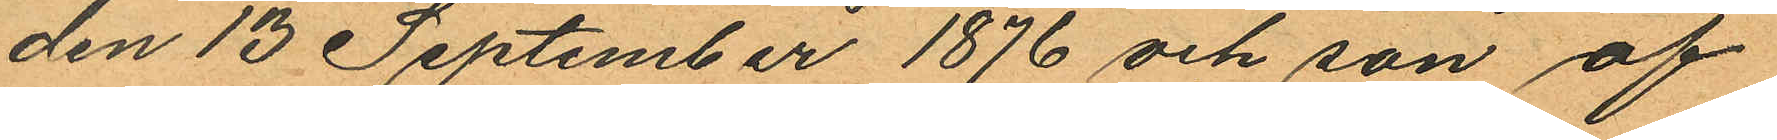den 13 September 1876 och son af
